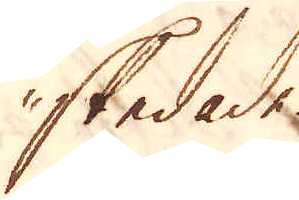skedade.
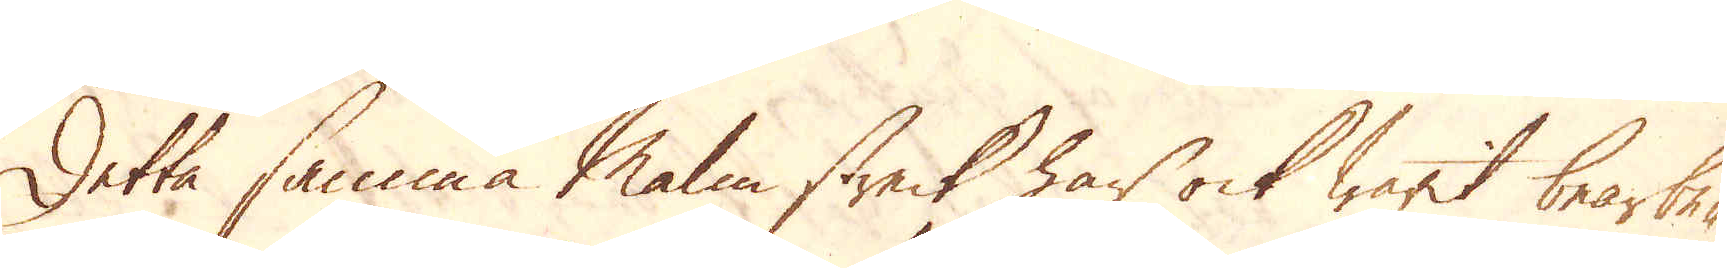Detta samma Malm streck har ock warit bearbe-
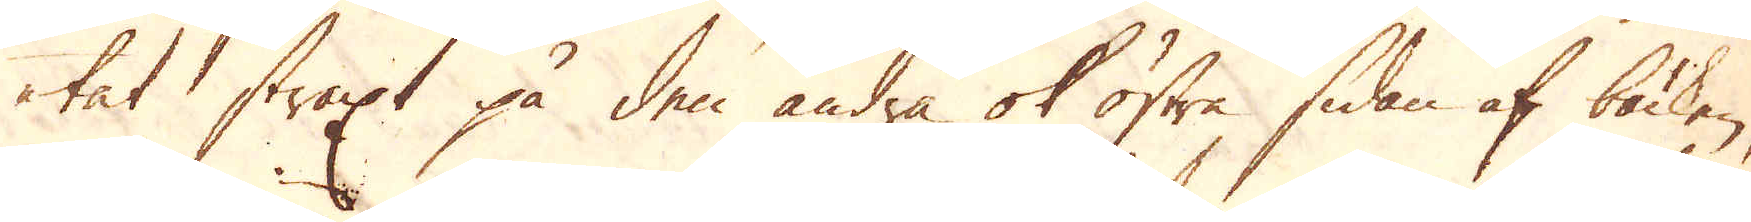tat straxt på den andra ok östre sidan af bäcken,
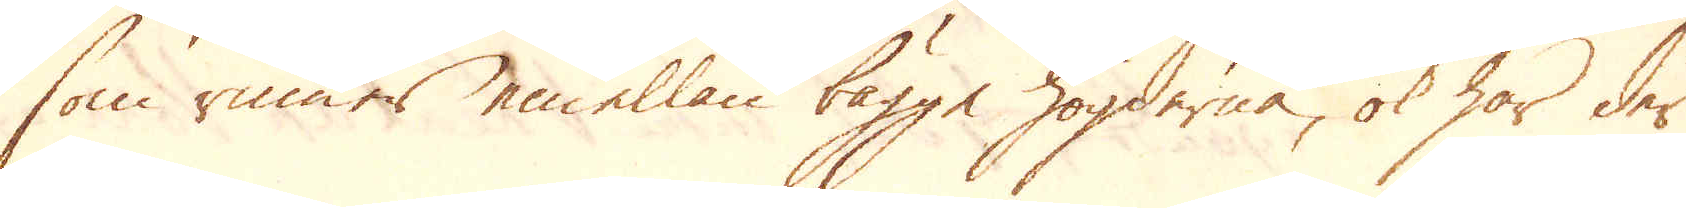som rinner emellan bägge högderna, ok har der
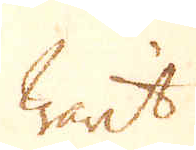warit
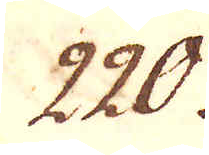220.
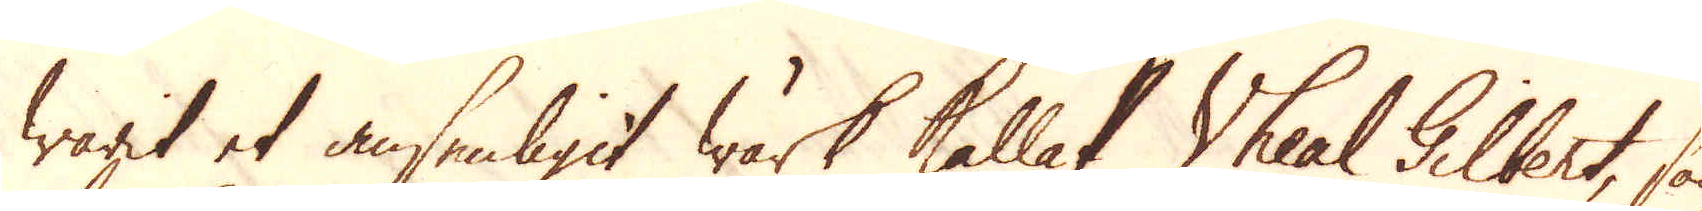warit et ansenligit Wärk kallat Vheal Gilbert, som
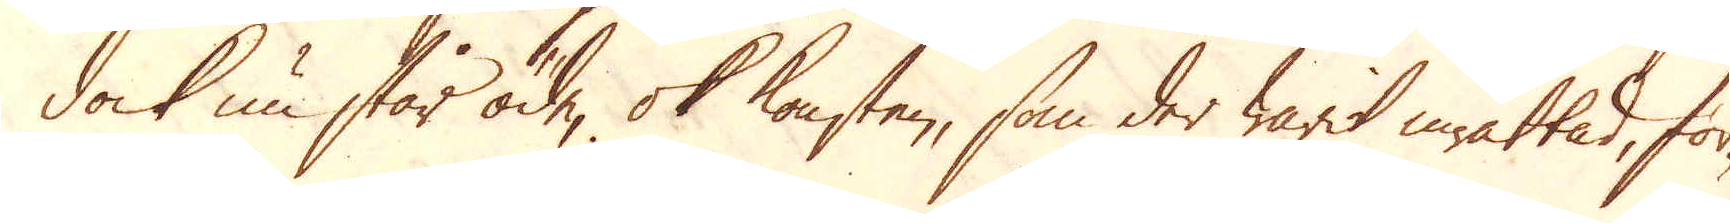dock nu står öde, ok konsten, som der warit inrättat, för-
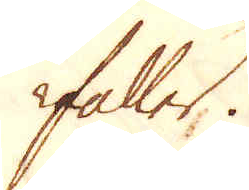faller.
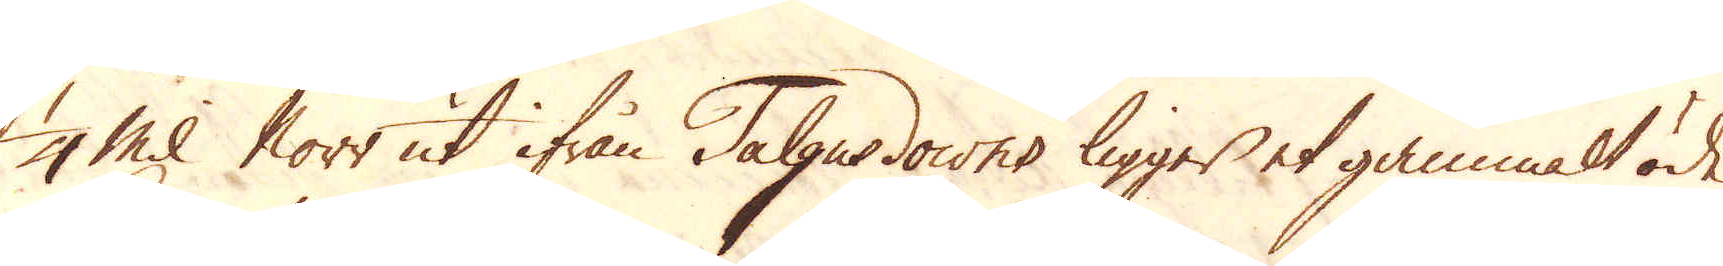1/4 Mil Norr ut ifrån Talgusdowns ligger et gammalt öde
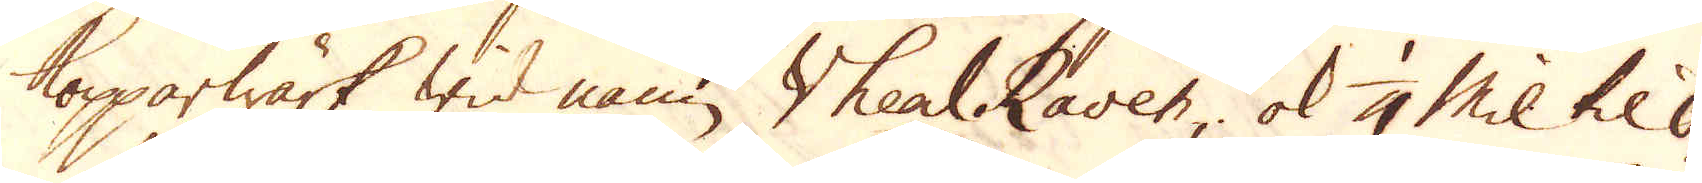Kopparwärk wid namn Vheal Raven; ok 1/4 Mil til Ö-
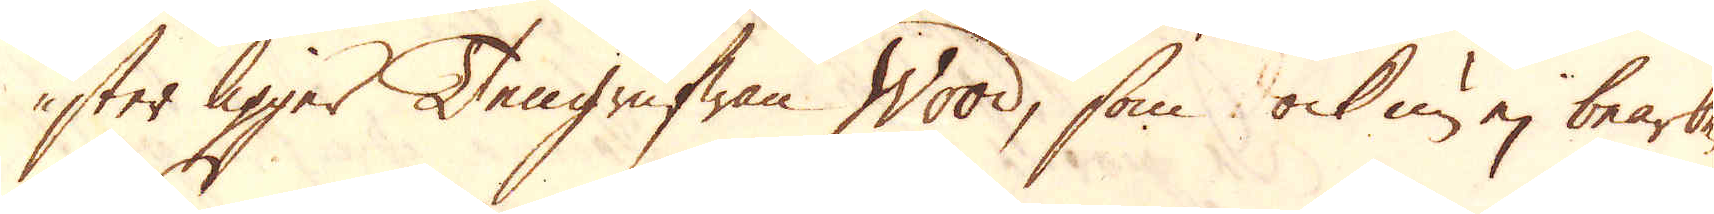ster ligger Tengrufwan Wood, som ock nu ej bearbe-
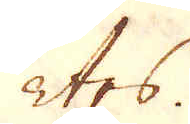tes.
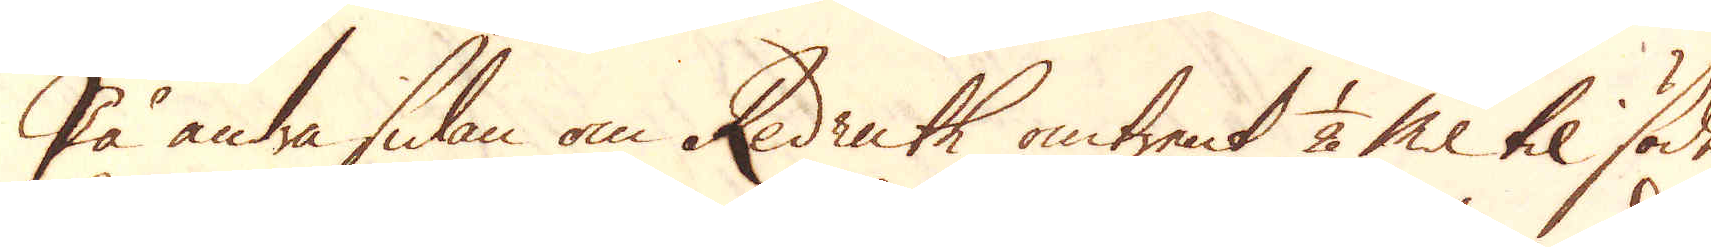På andra sidan om Redruth omtrent 1/2 Mil til söder
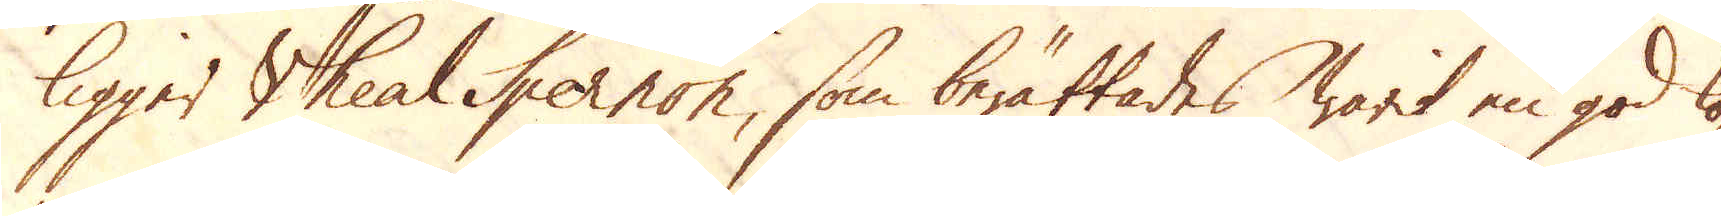ligger Vheal Spernon, som berättades warit en god kop-
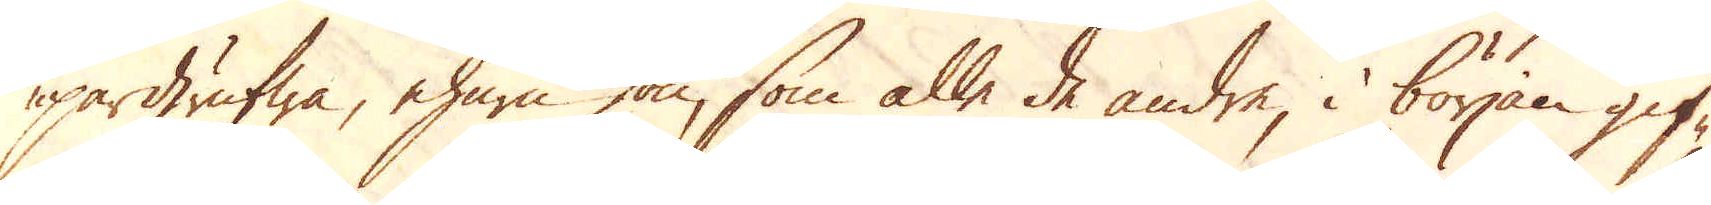pargrufwa, ehuru hon, som alle de andre, i början gif-
